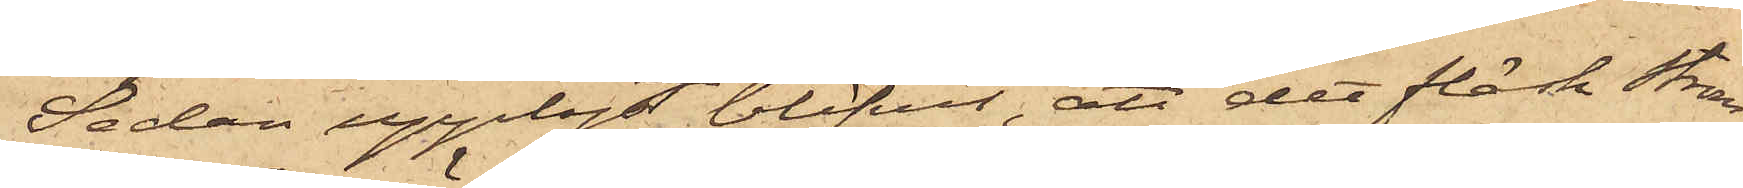Sedan upplyst blifvit, att det fläsk Ström¬
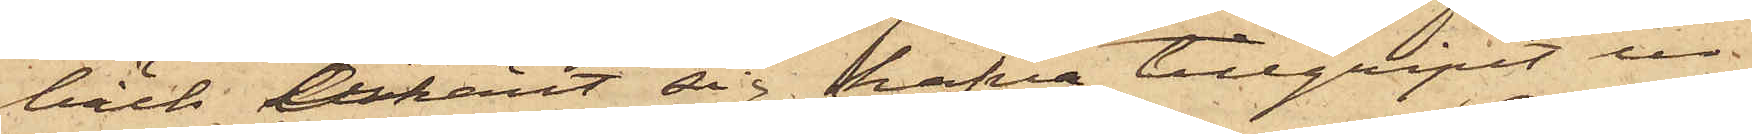bäck erkänt sig hafva tillgripit ur
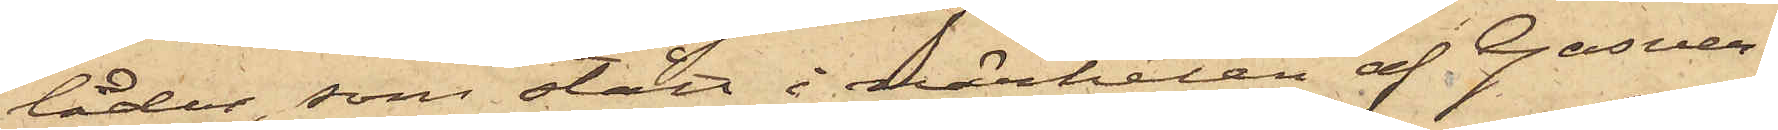lådor, som stått i närheten af Gasver¬
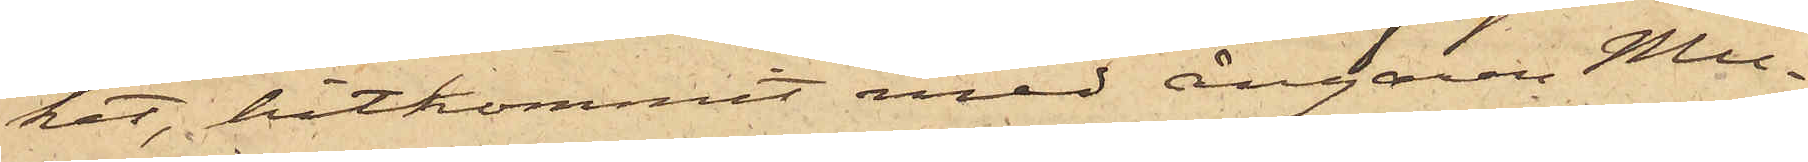ket, hitkommit med ångaren Mu¬
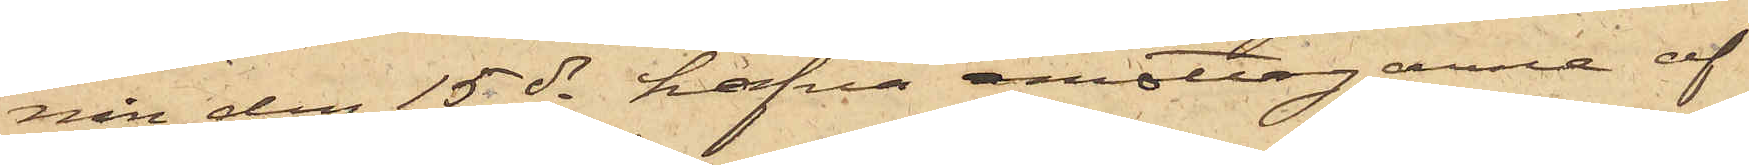nin den 15 ds hafva emottagarne af
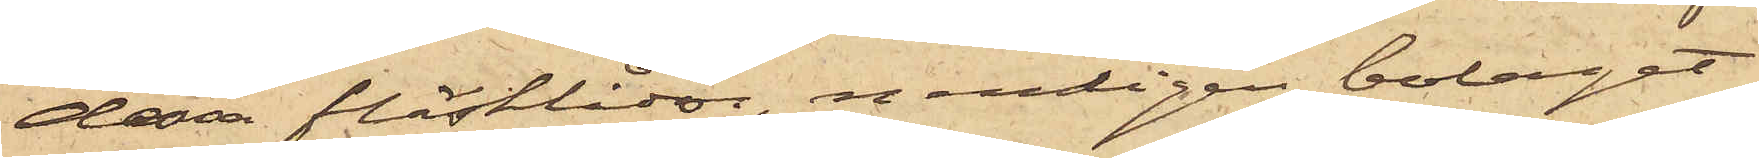dessa fläsklådor, nemligen bolaget
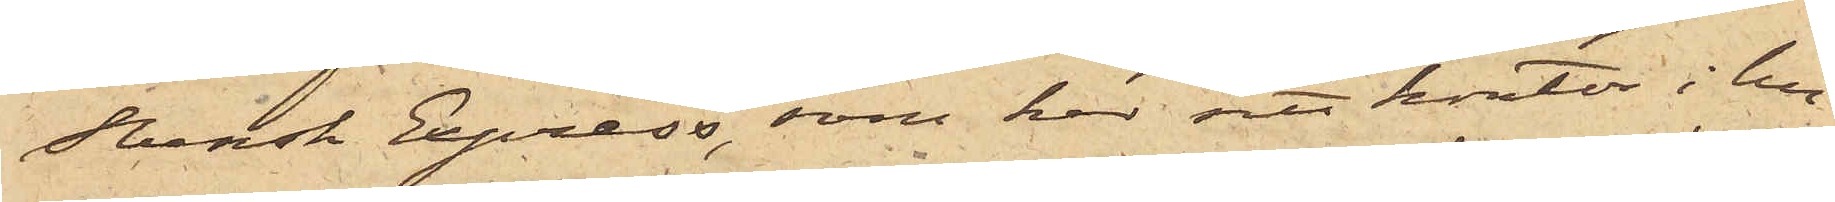Svensk Express, som har sitt kontor i hu¬
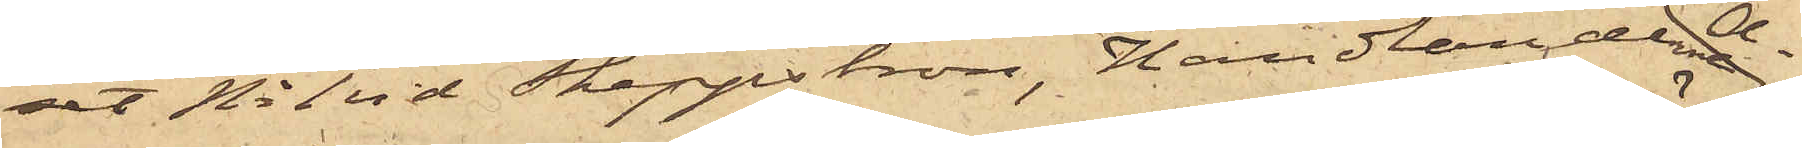set No 1 vid Skeppsbron, Handlandena A¬
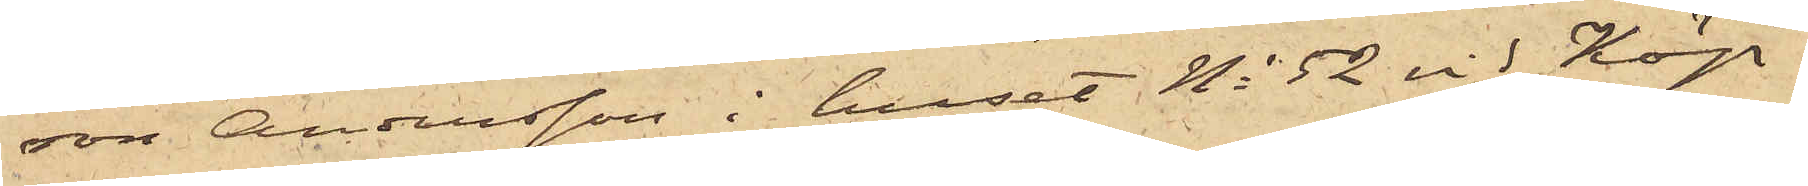ron Andersson i huset No 52 vid Köp¬
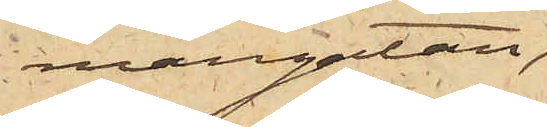mangatan,
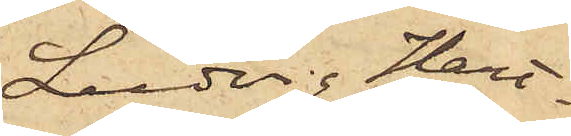Ludvig Hart¬
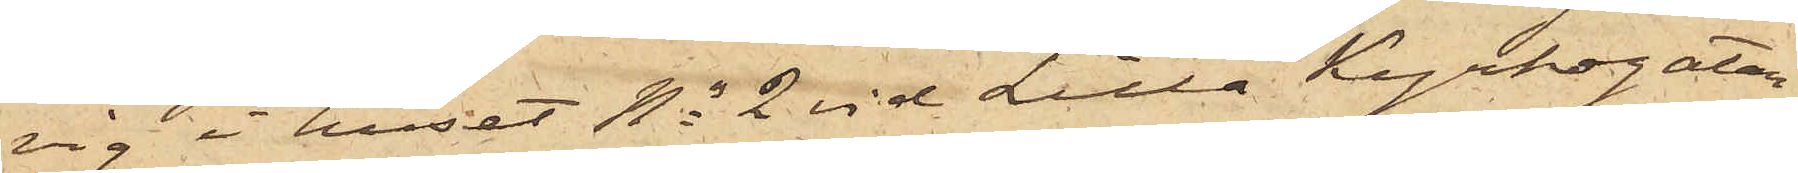vig i huset No 2 vid Lilla Kyrkogatan,
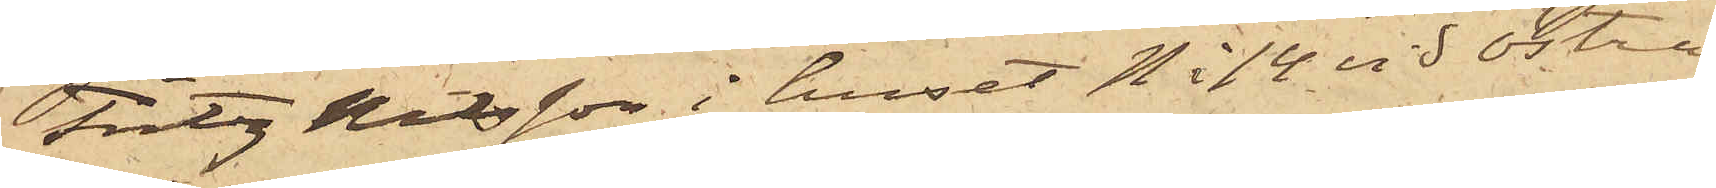Fritz Nilsson i huset No 14 vid Östra
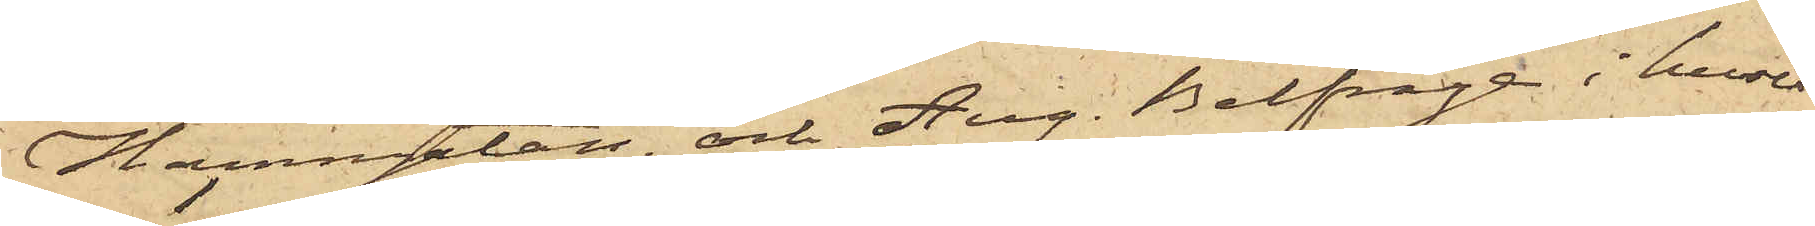Hamngatan, och Aug. Belfrage i huset
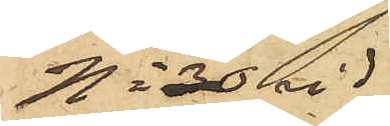No 30 vid
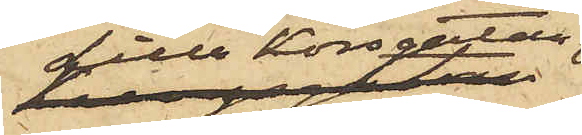Lilla Korsgatan
